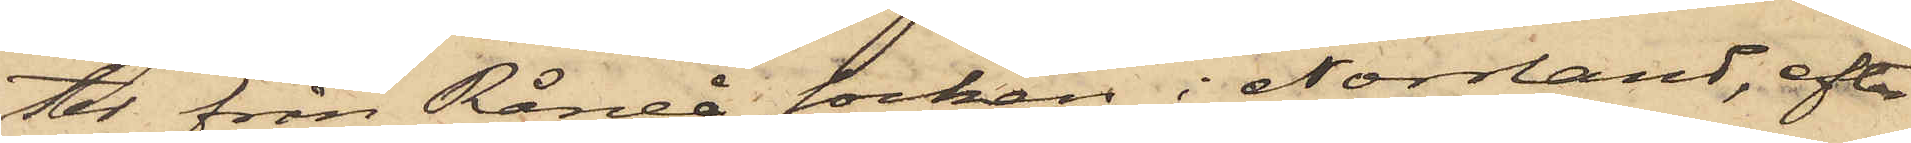ter från Råneå socken i Norrland, efter
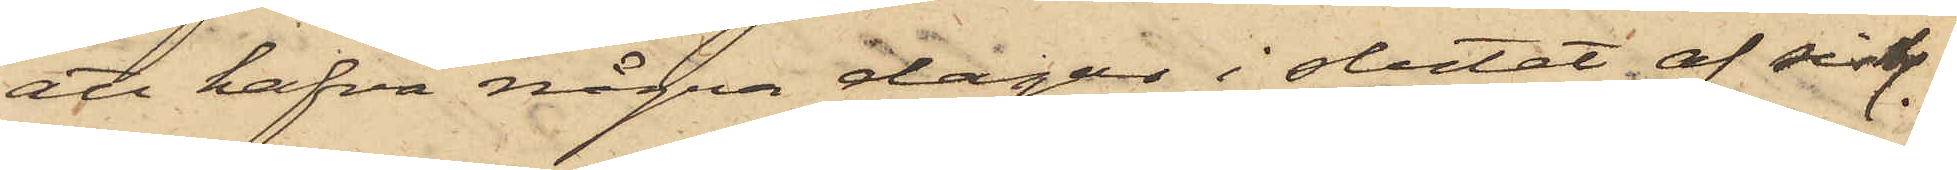att hafva några dagar i slutet af sistl.
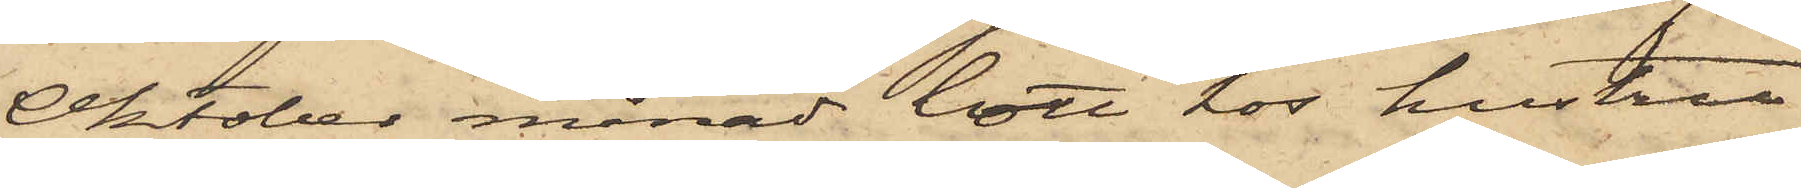Oktober månad bott hos hustrun
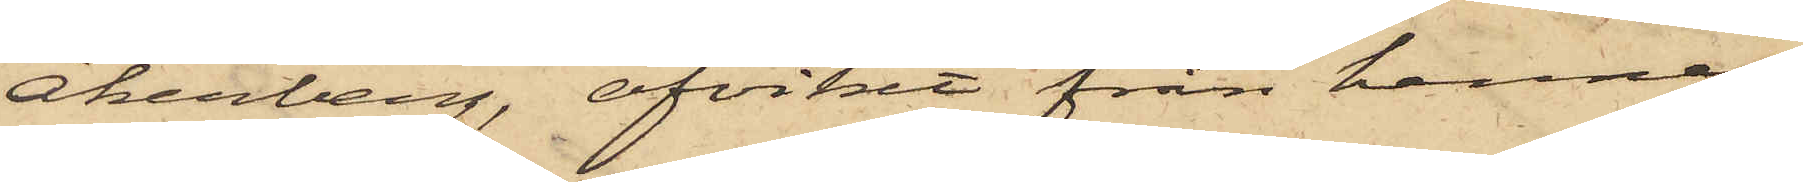Åkerberg, afvikit från hennes
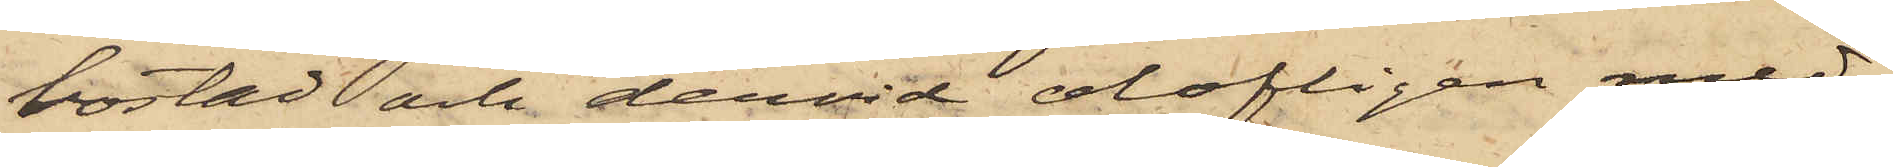bostad och dervid olofligen med
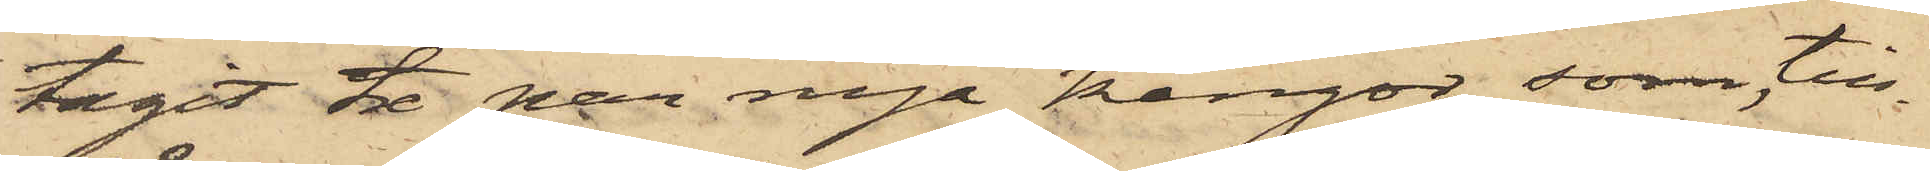tagit tre par nya kängor, som till¬
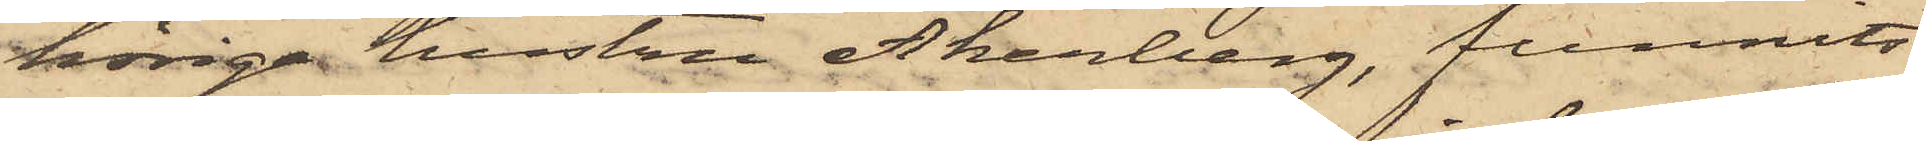höriga hustru Åkerberg, funnits
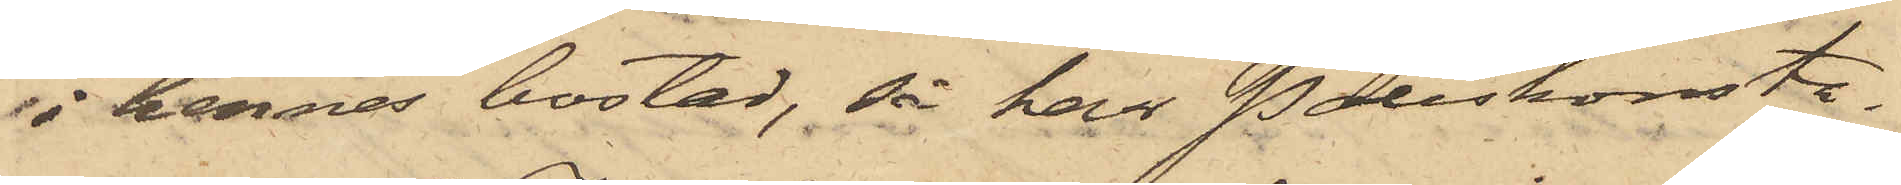i hennes bostad, så har Poliskonsta¬
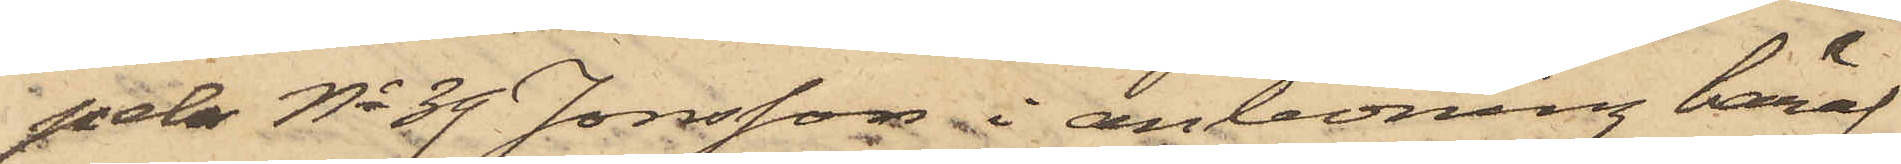peln No 39 Jonsson i anledning häraf
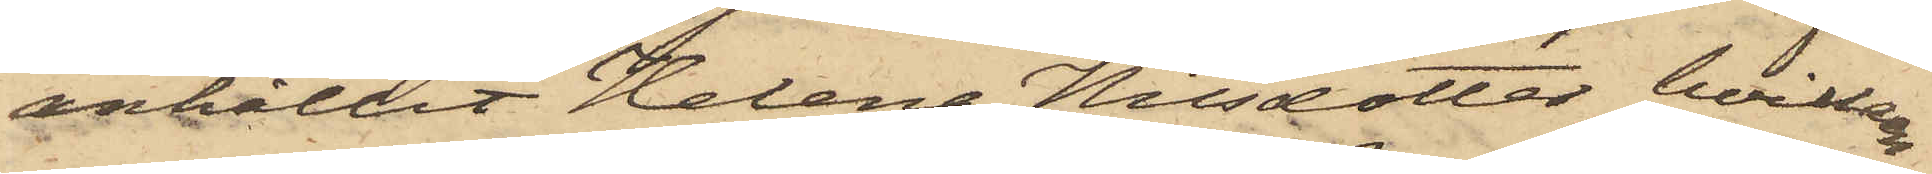anhållit Helena Nilsdotter, hvilken
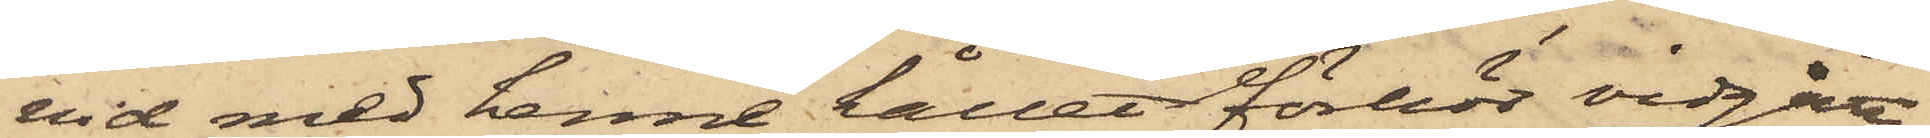vid med henne hållet förhör vidgått
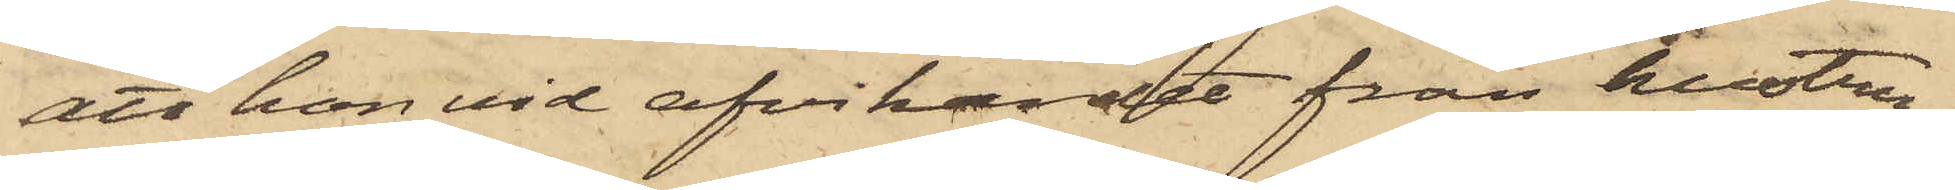att hon vid afvikandet från hustru
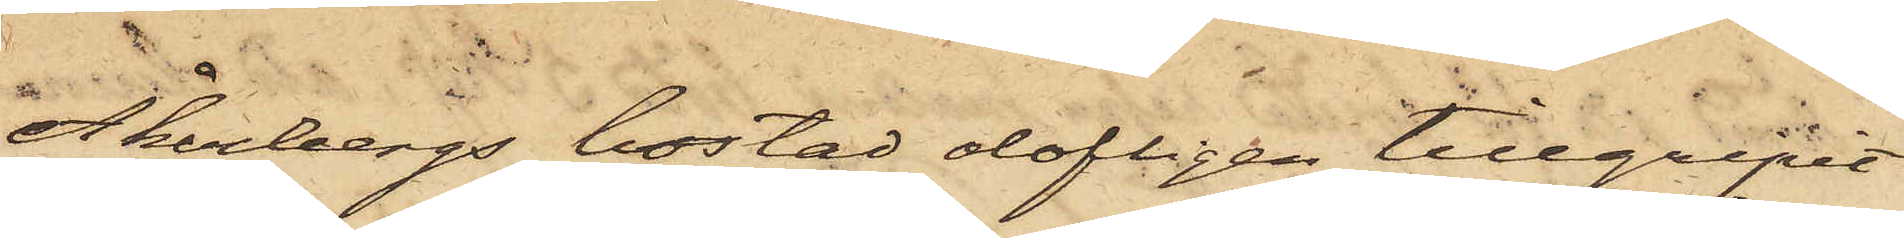Åkerbergs bostad olofligen tillgripit
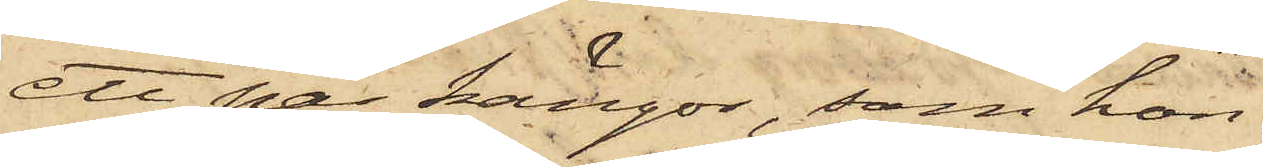ett par kängor, som hon
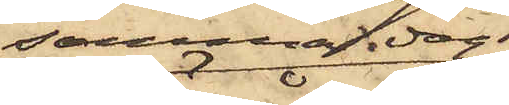samma dag
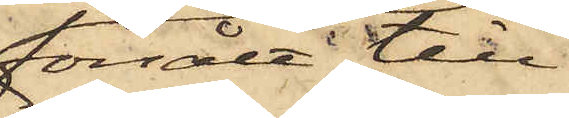försålt till
